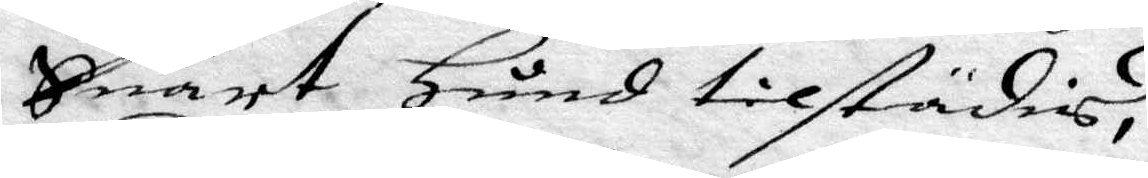Suart Hind tilstädis,
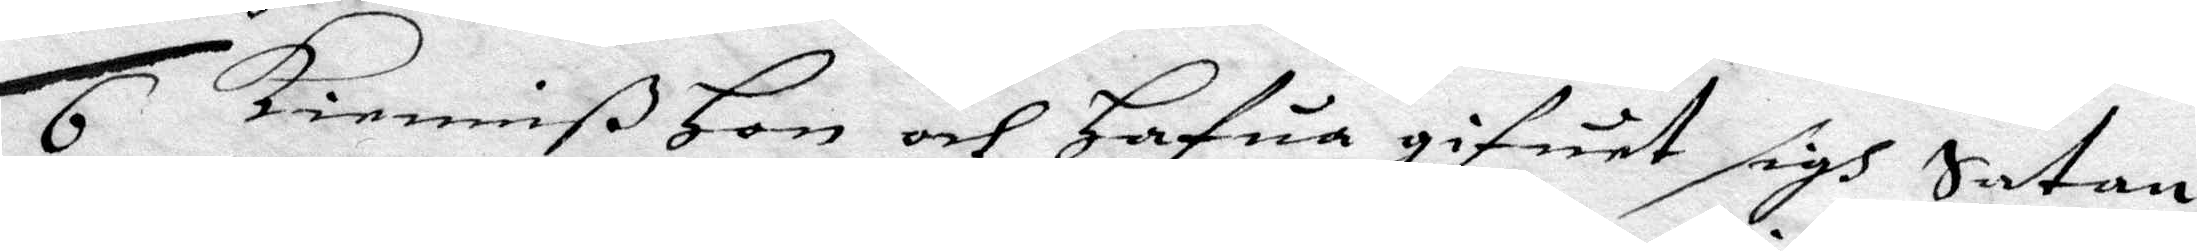6 kiemmiß Hon och Hafua gifuet sigh Satan
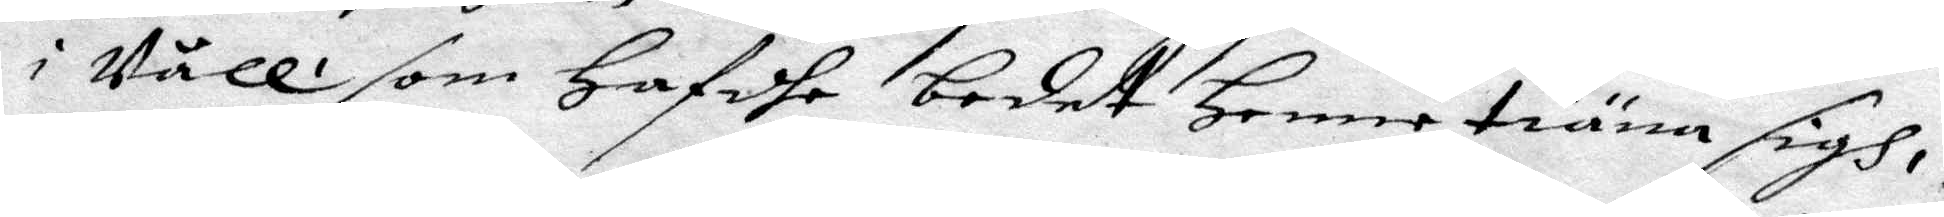i Våll som Hafdhe bedet Henne tiäna sigh
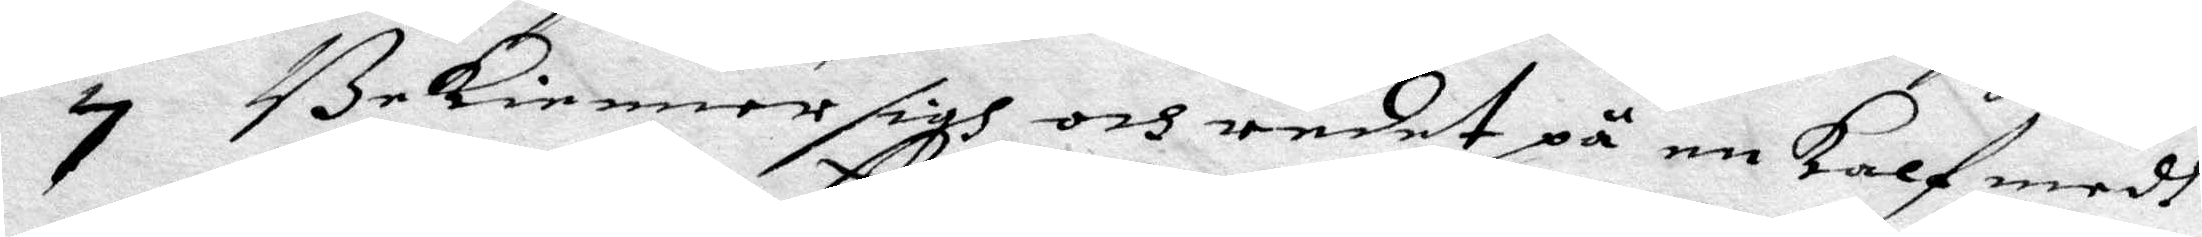7 Bekienner sigh och redet på en kalf medh
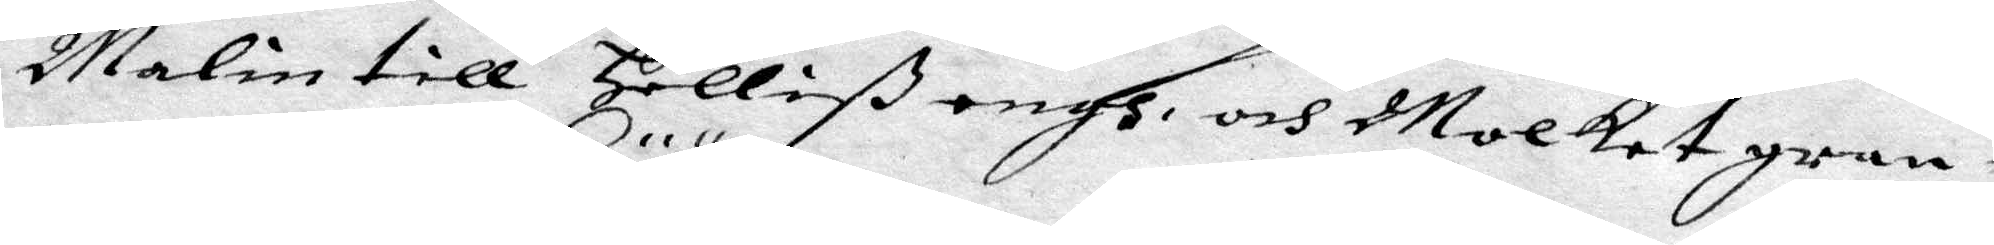Malin till Helliß engh och Molkat gran¬
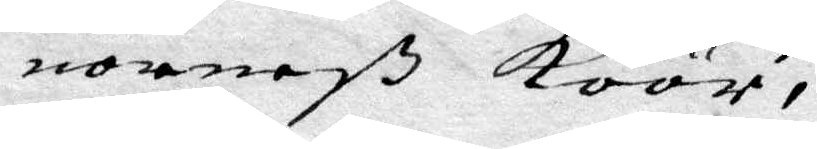norneß köör,
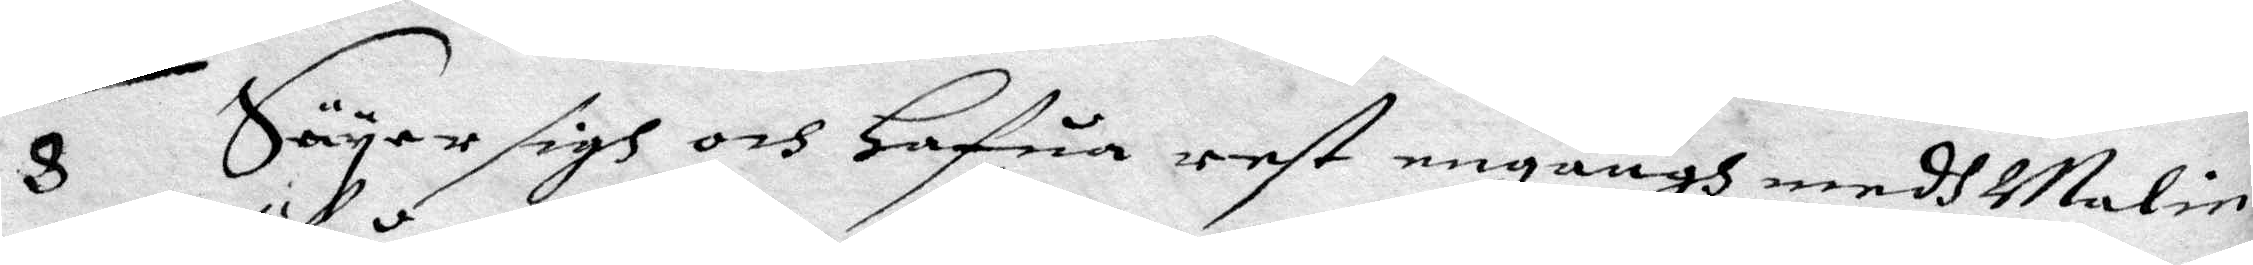8 Säyer sigh och Hafua rest engångh medh malin
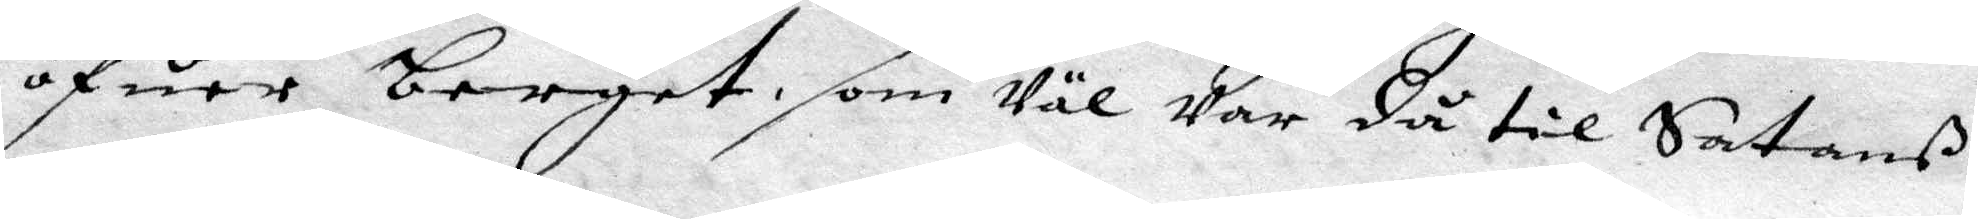öfuer berget, som Väl Var då til Satans
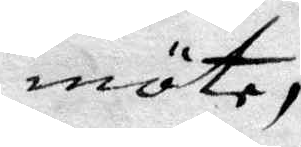möte,
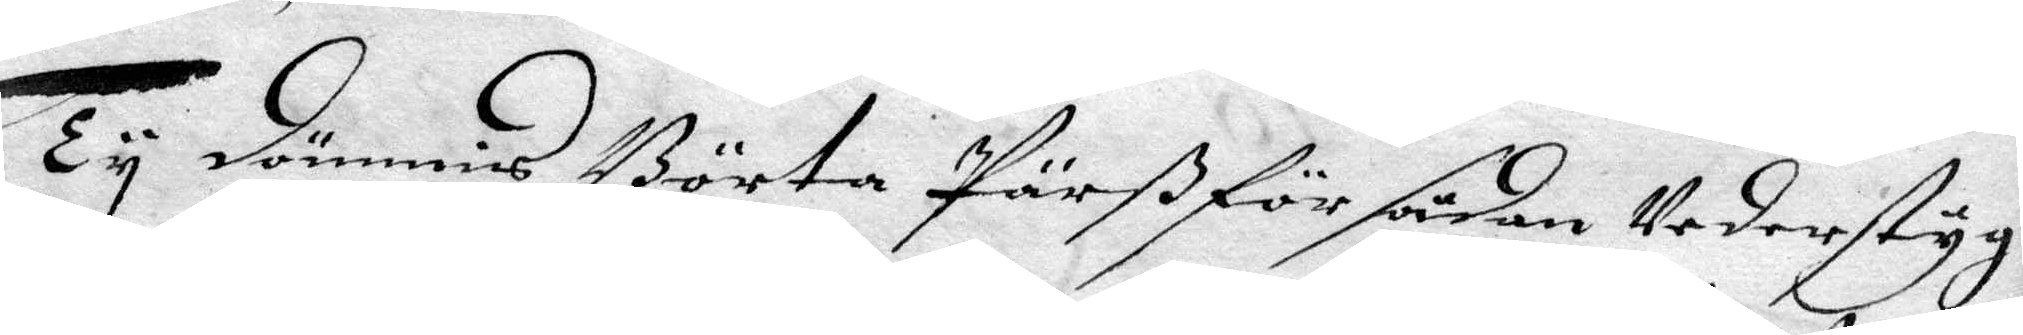Ty dömmis Börta Pärß för sådan Vederstyg¬
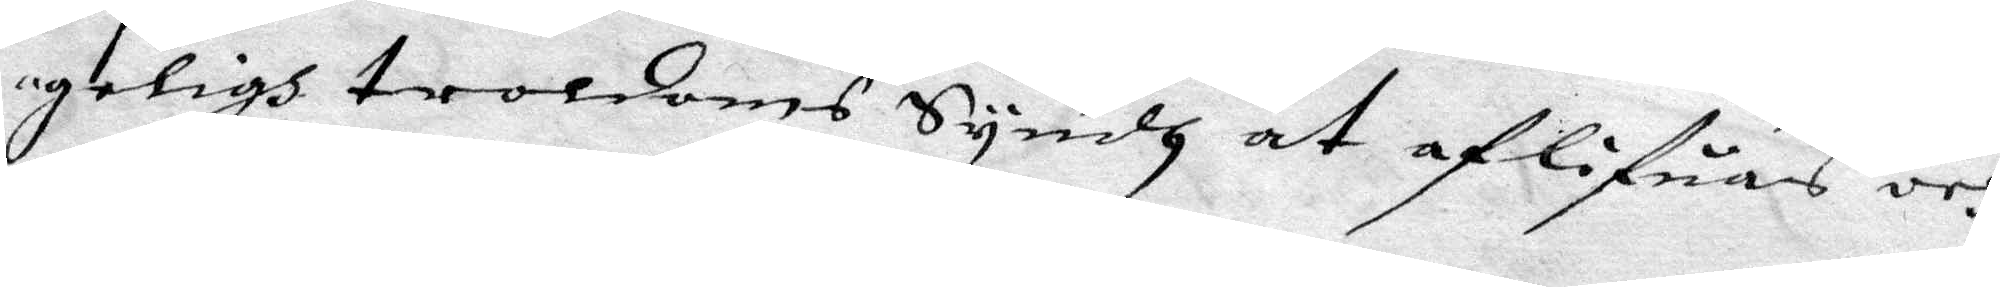geligh troldoms Syndh at aflifuas och
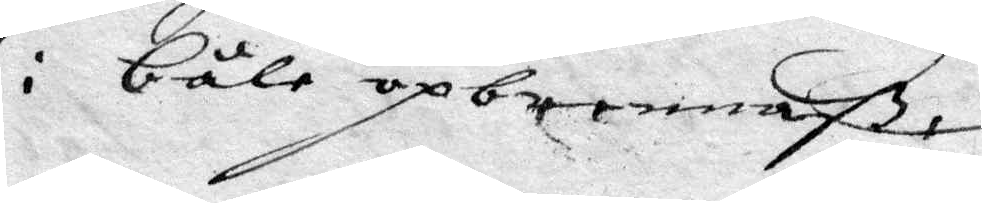i båle opbrennaß.
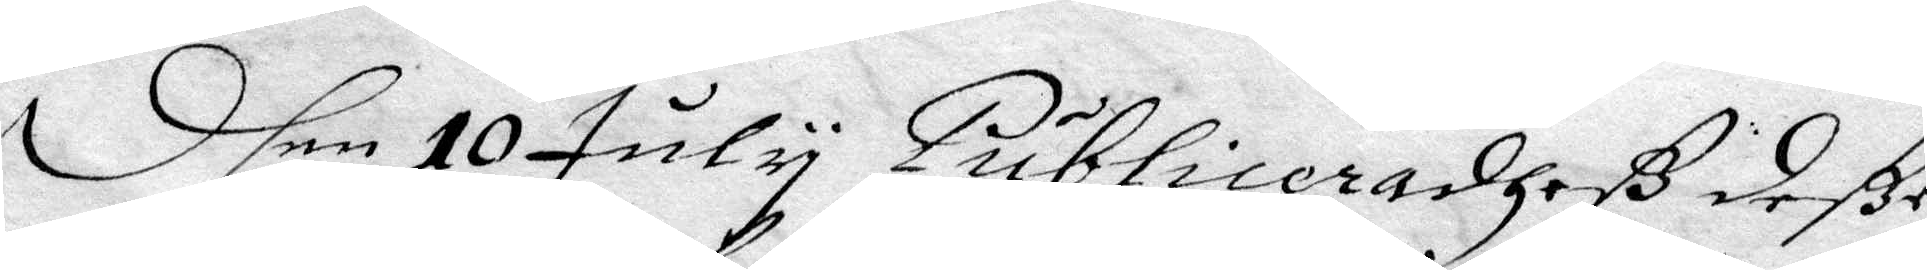Dhen 10 Juny Publoceradheß deße
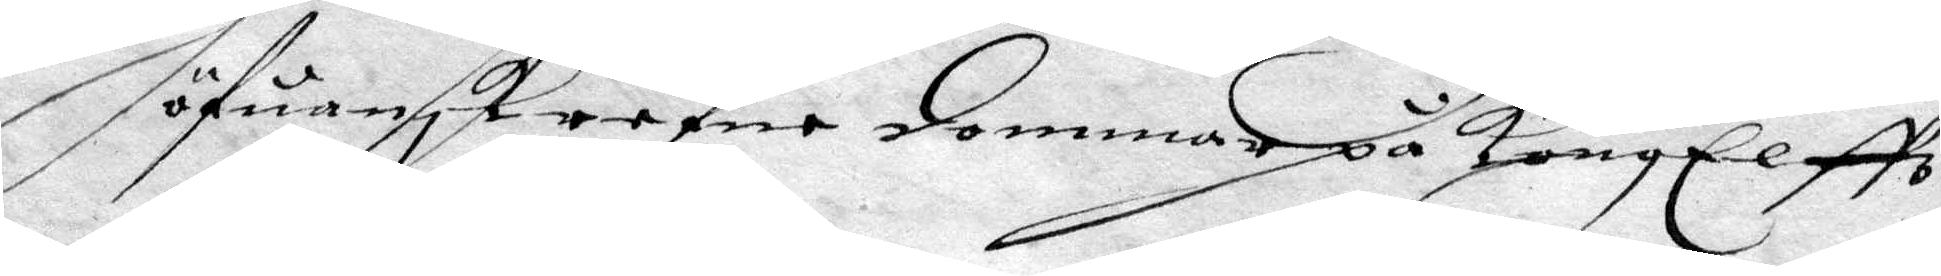öfuanskrefne dommar på KongElffz
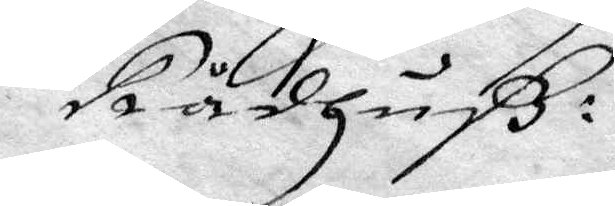Rådhuß:
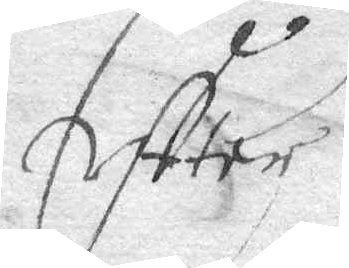Eftter
